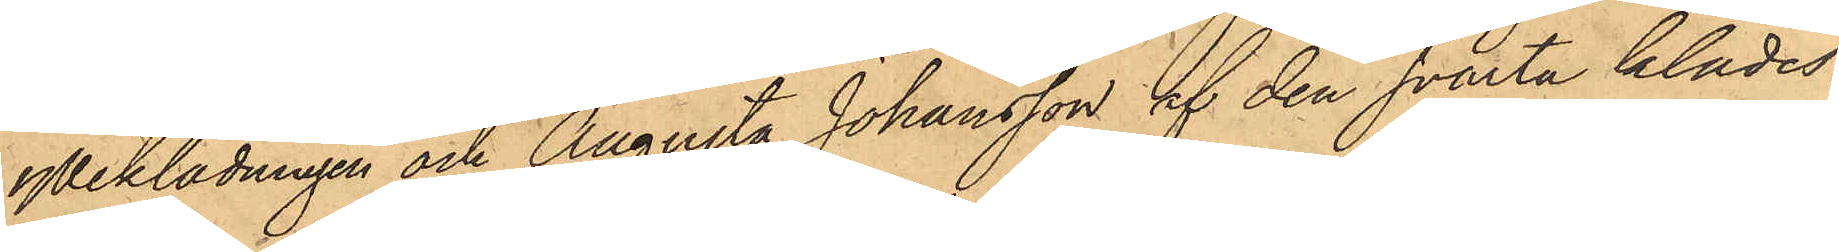ylleklädningen och Augusta Johansson af den svarta klädes¬
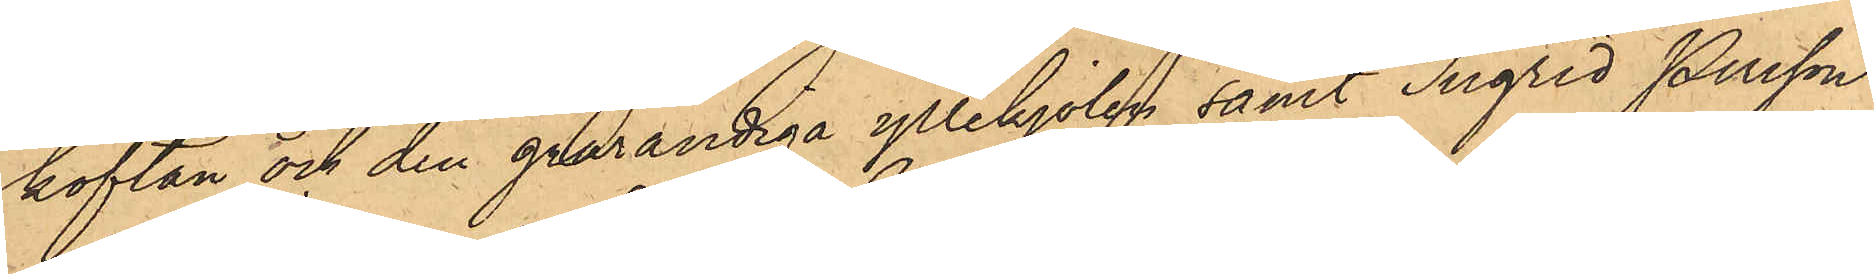koftan och den grårandiga yllekjolen samt Ingrid Persson
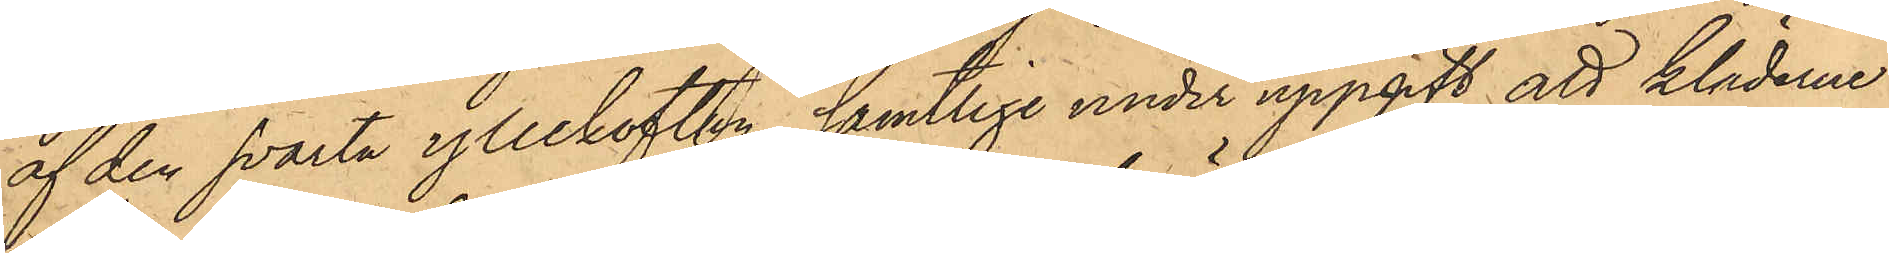af den svarta yllekoftan, samtlige under uppgift att kläderne
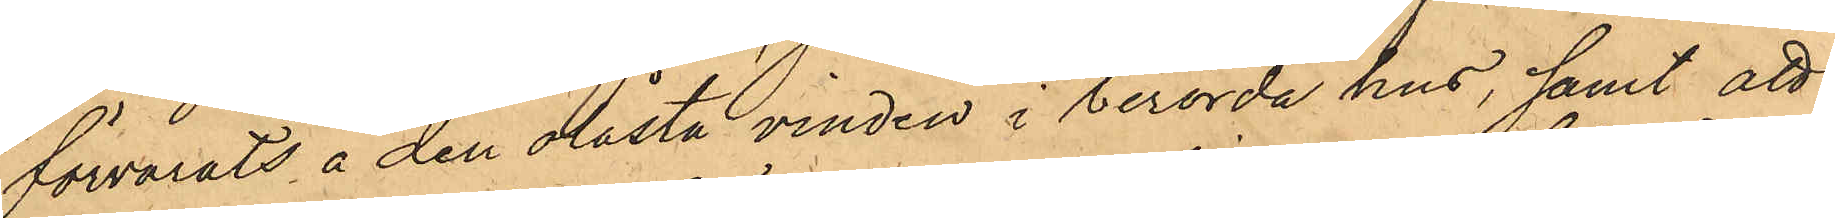förvarats å den olåsta vinden i berörda hus, samt att
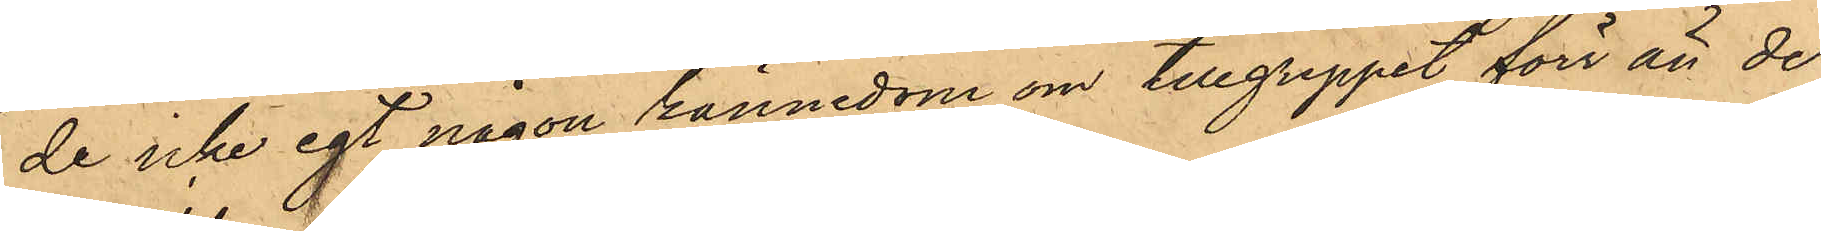de icke egt någon kännedom om tillgreppet förr än de
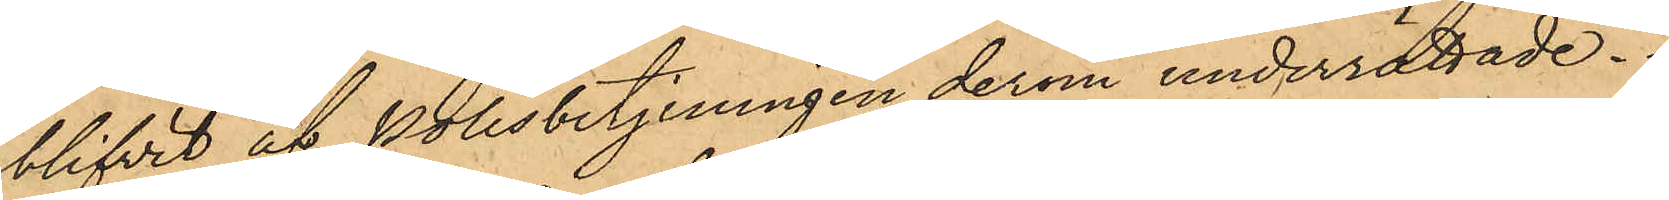blifvit af Polisbetjeningen derom underrättade.
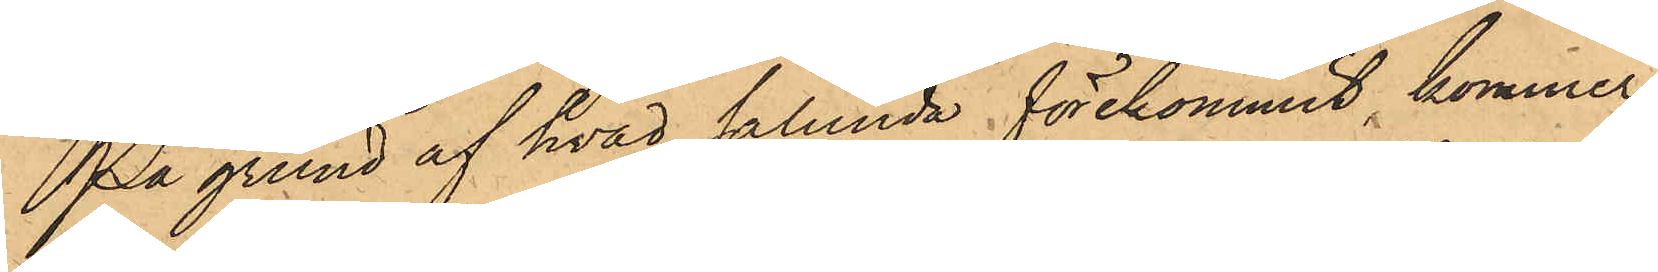På grund af hvad sålunda förekommit, kommer
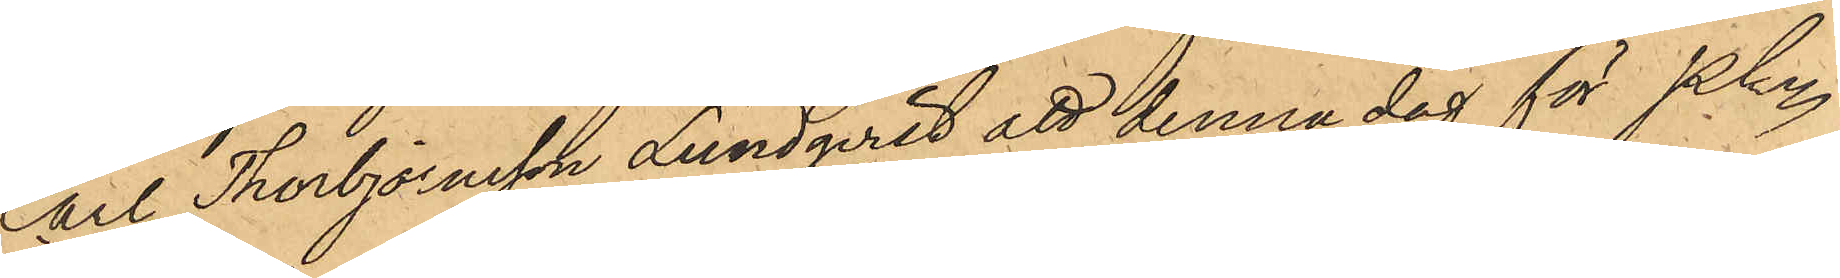Carl Thorbjörnsson Lundqvist att denna dag för Pkn
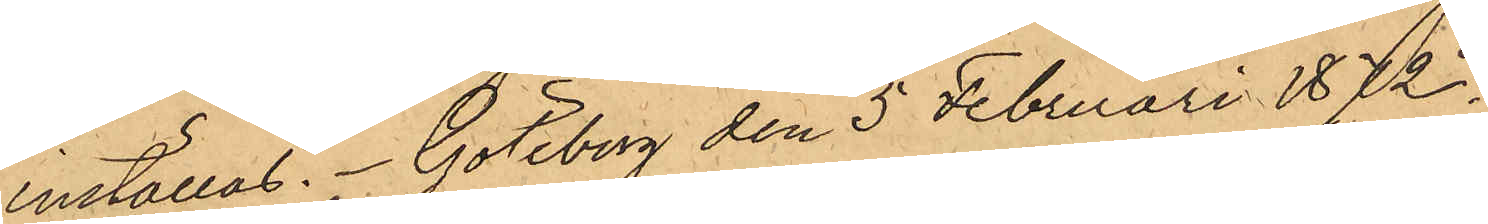inställas. Göteborg den 5 Februari 1872.
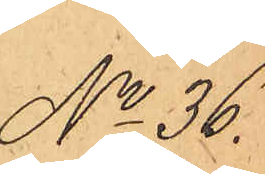No 36.
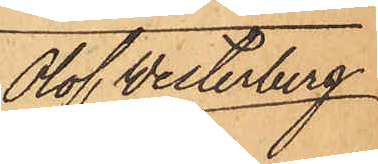Olof Westerberg
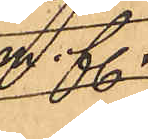m. fl.
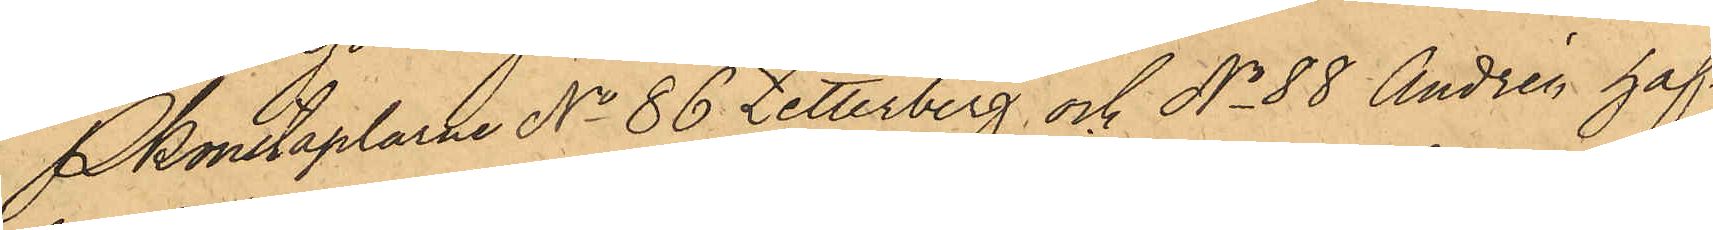Pkonstaplarne No 86 Zetterberg och No 88 Andrén haf¬
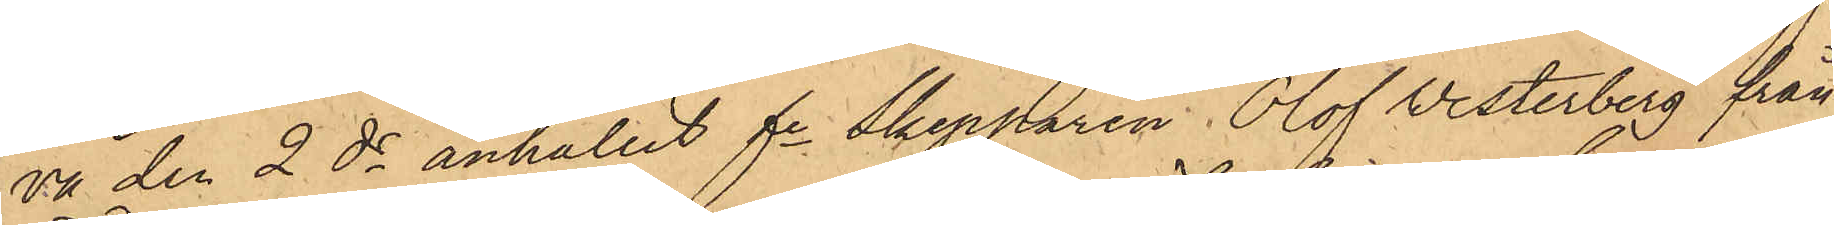va den 2 ds anhållit fe Skepparen Olof Vesterberg från
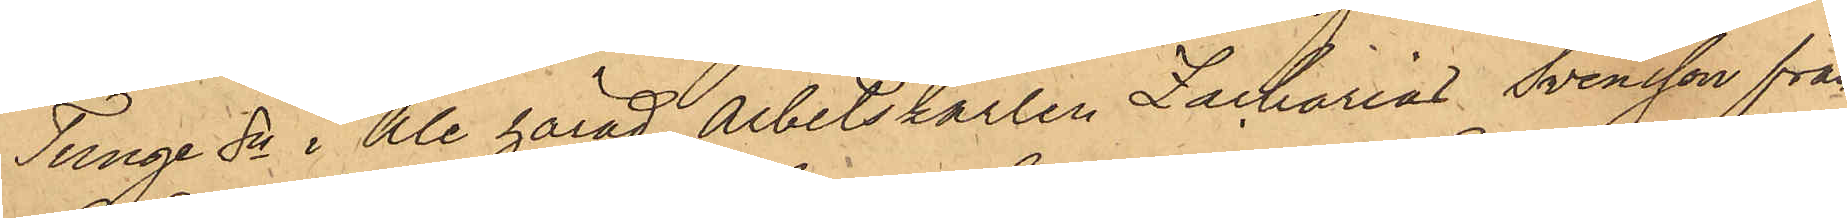Tunge Sn i Ale härad, Arbetskarlen Zacharias Svensson från
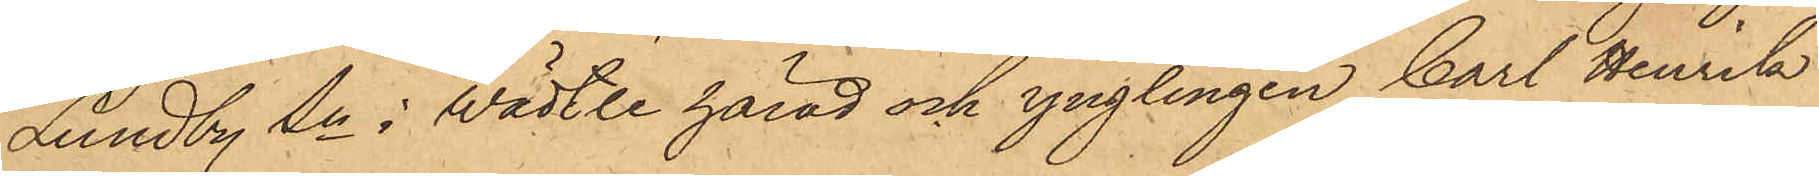Lundby Sn i Wädtle härad och ynglingen Carl Henrik
